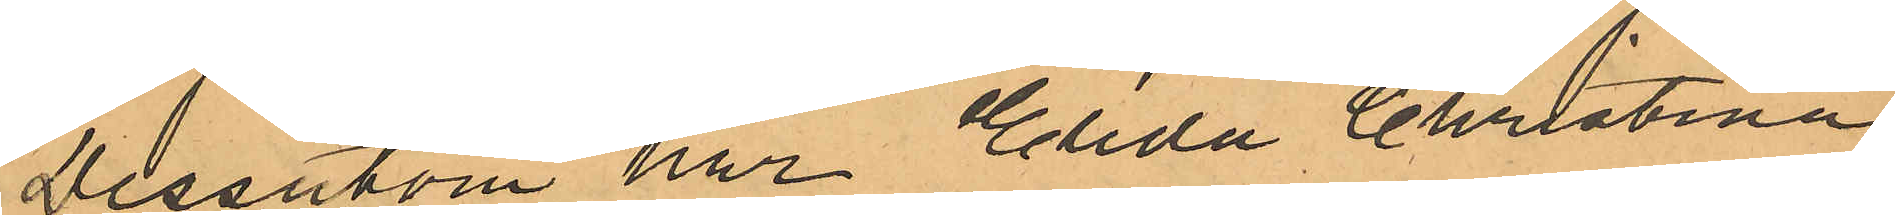Dessutom har Elida Christina
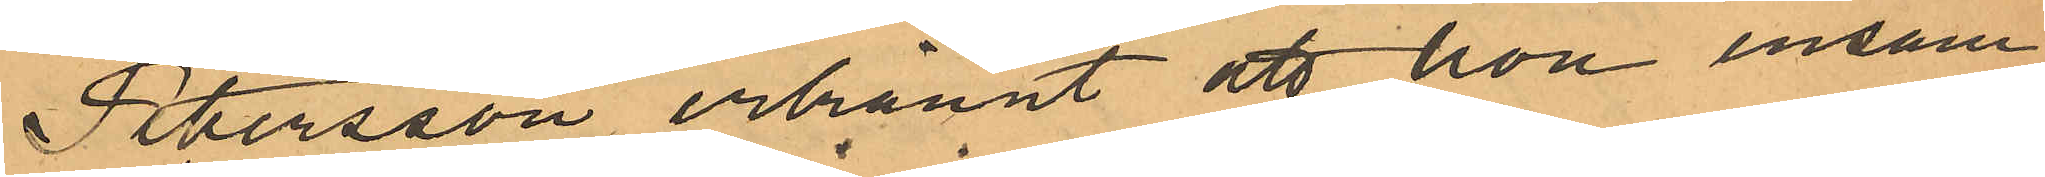Petersson erkännt att hon ensam
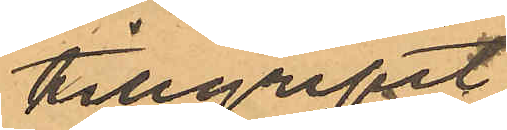tillgripit
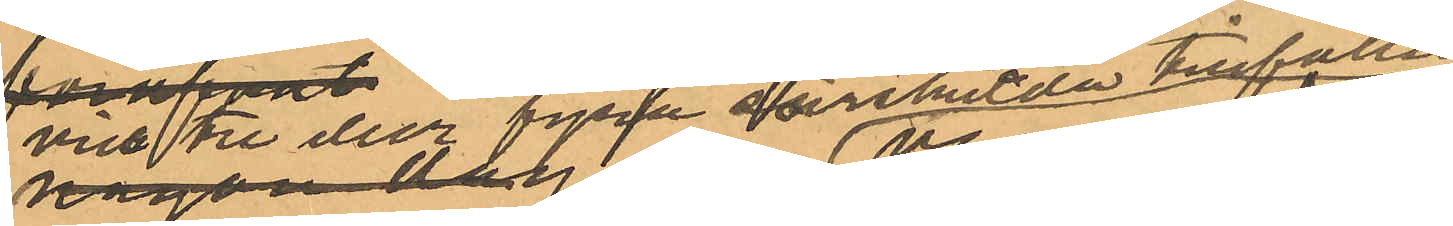vid tre eller fyra särskilda tillfällen
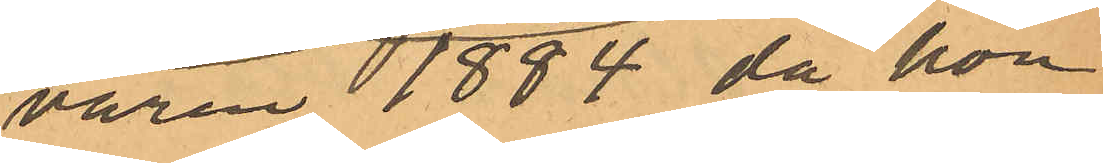våren 1884, då hon
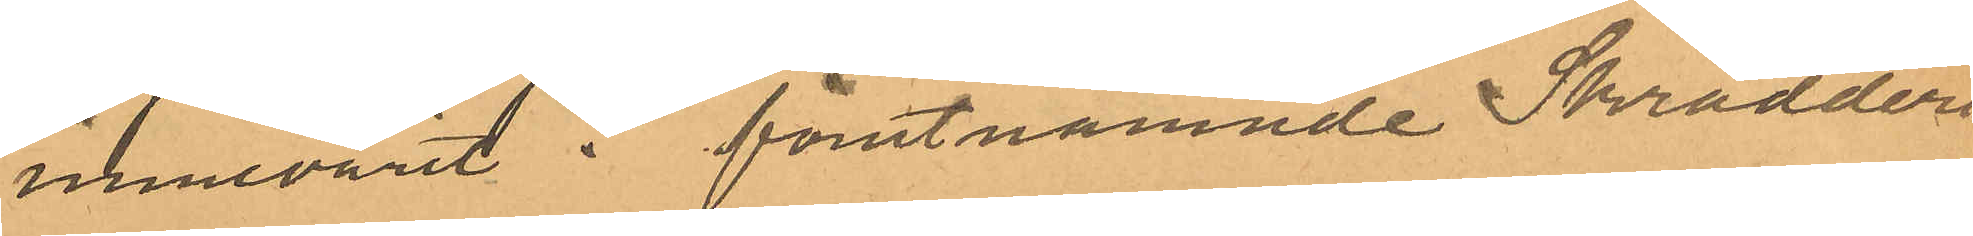innevarit i förutnämnde Skrädder¬
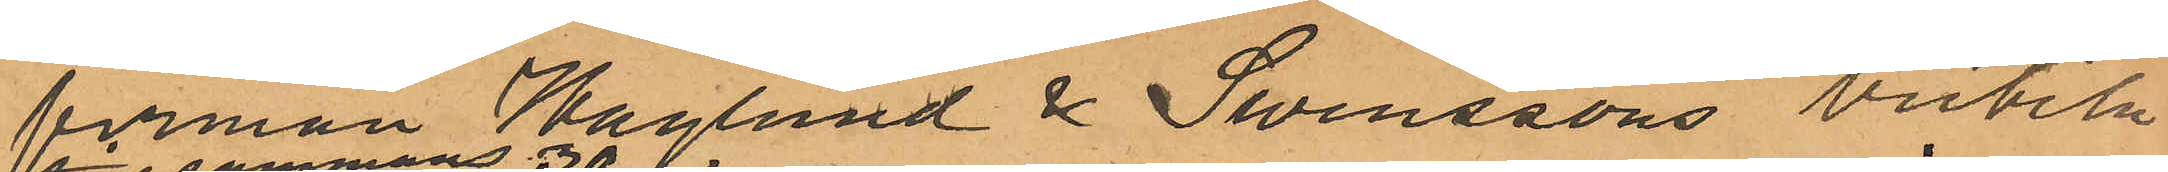firman Haglund & Svenssons butik
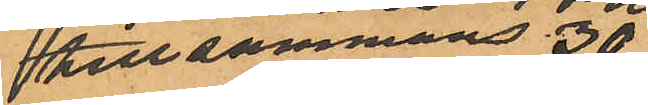tillsammans 30
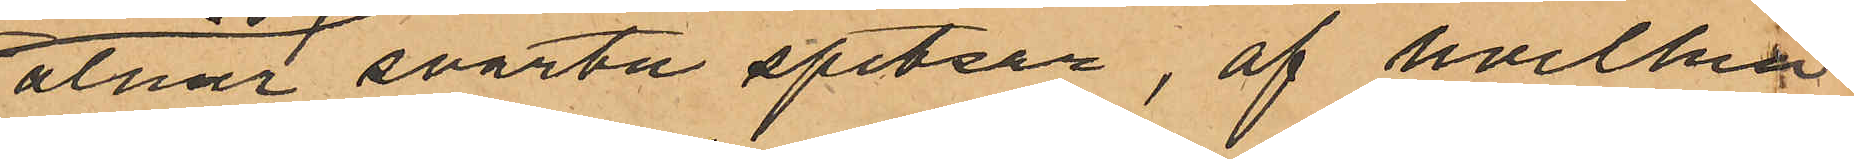alnar svarta spetsar, af hvilka
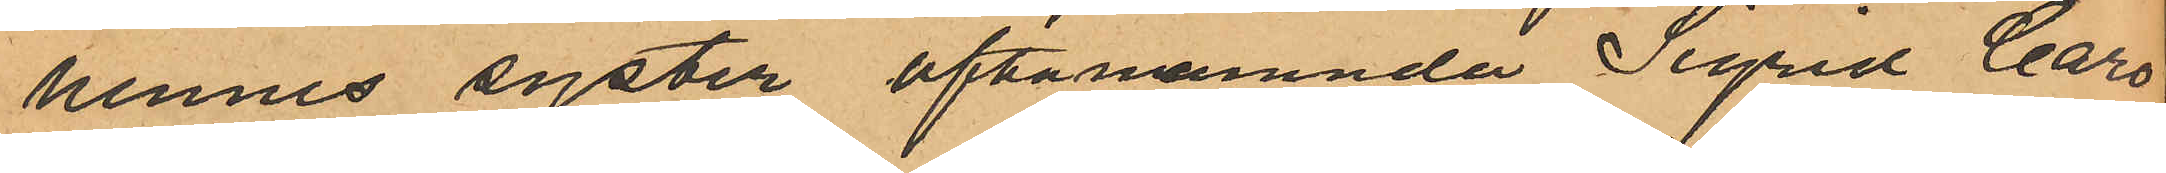hennes syster oftanämnda Sigrid Caro¬
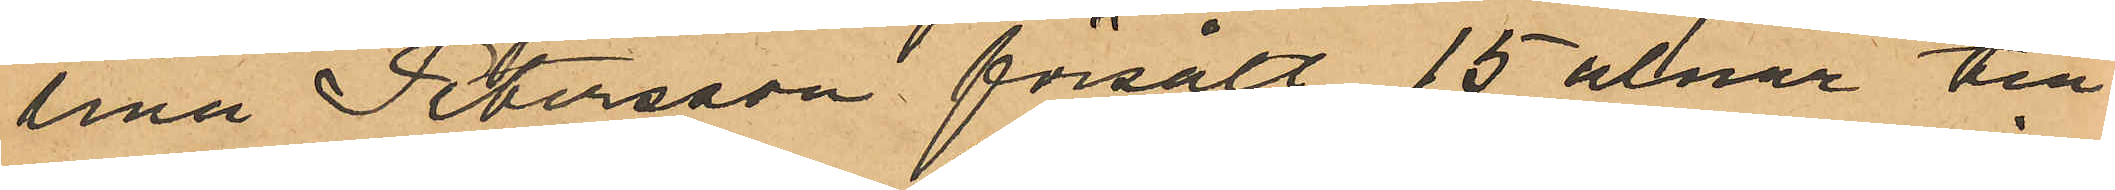lina Petersson försålt 15 alnar till
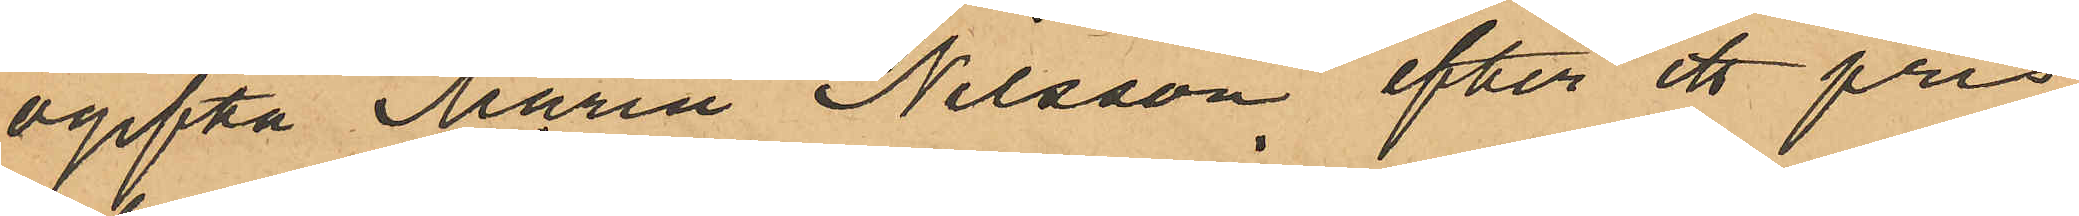ogifta Maria Nilsson efter ett pris
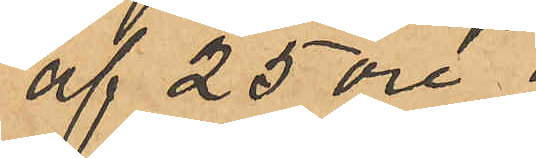af 25 öre
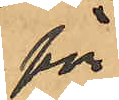för
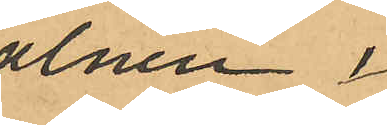alnen,
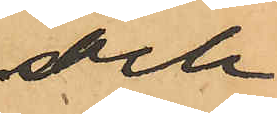och
